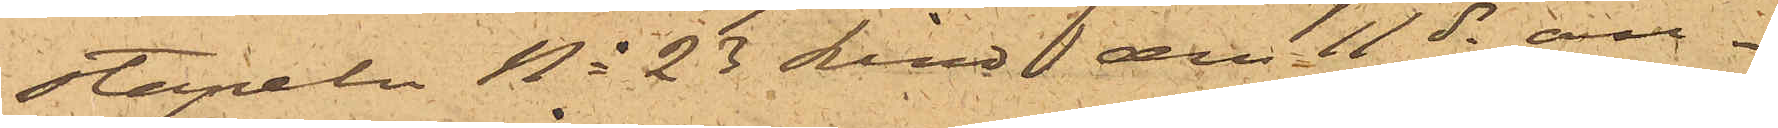stapeln No 23 Lind den 11 ds an¬
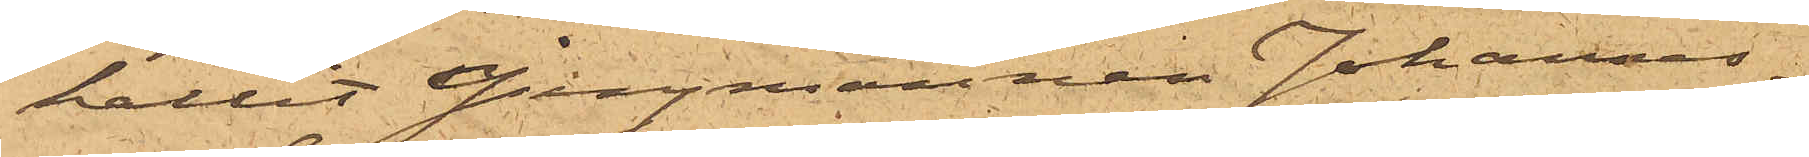hållit Jungmannen Johannes¬
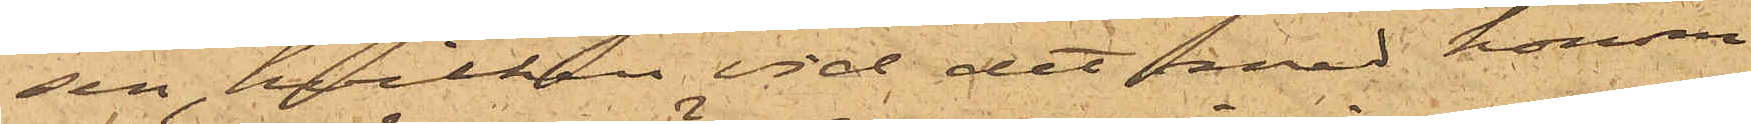sen, hvilken vid det med honom
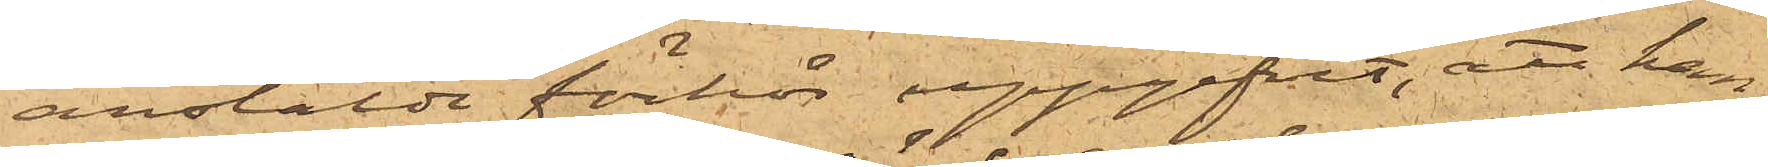anstälde förhör uppgifvit, att han,
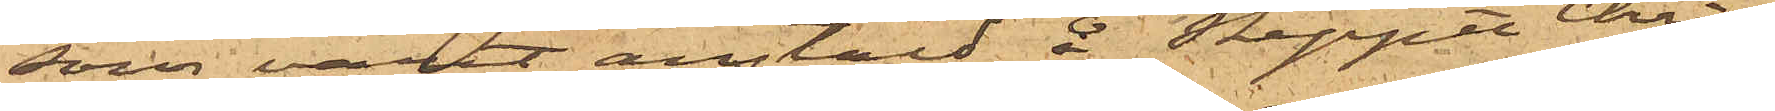som varit anstäld å skeppet Chri¬
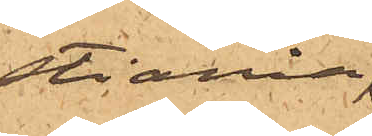stiania
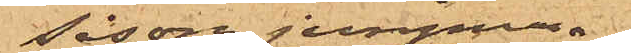såsom jungman,
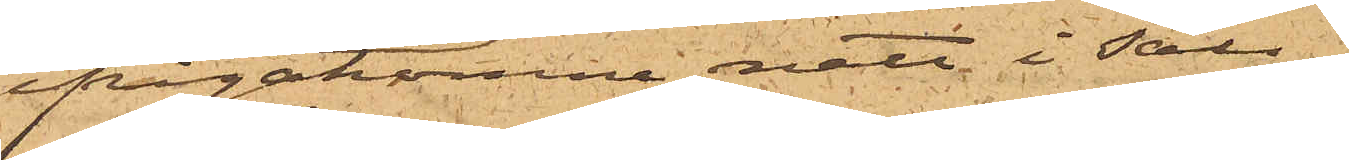ifrågakomne natt i säll¬
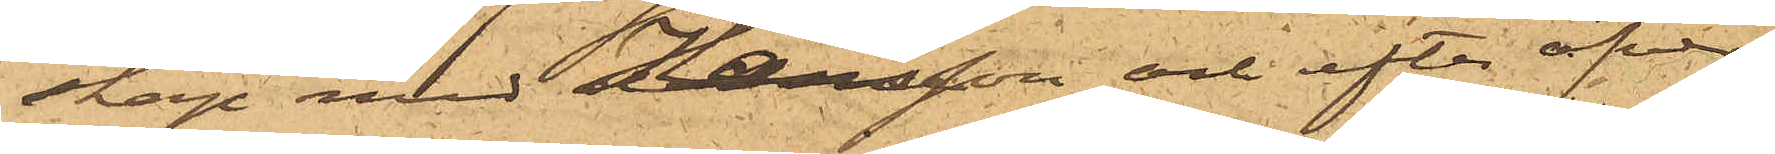skap med Hansson och efter öfver¬
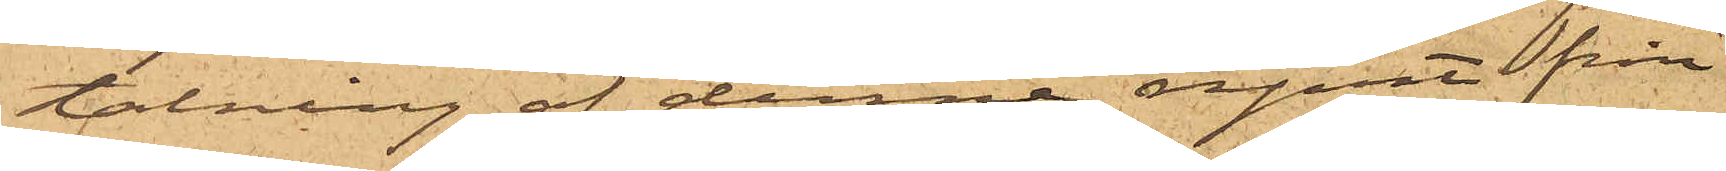talning af denne, rymt från
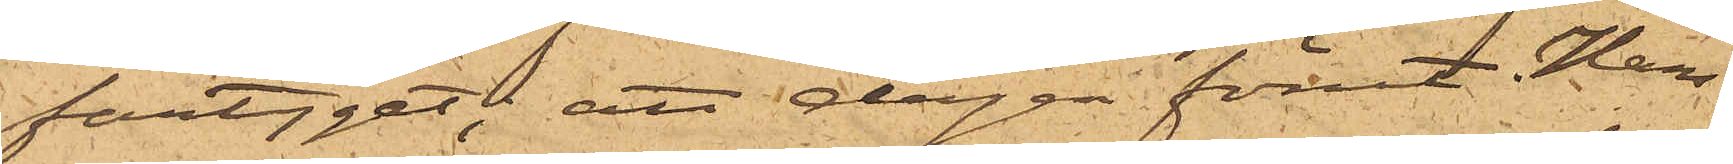fartyget; att dagen förut, Han¬
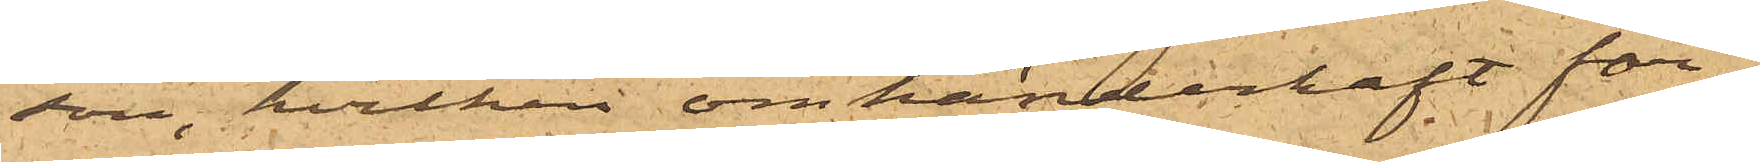son, hvilken omhänderhaft far¬
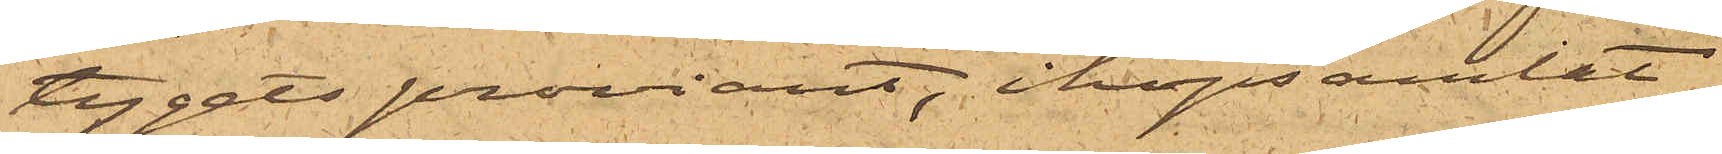tygets proviant, ihopsamlat
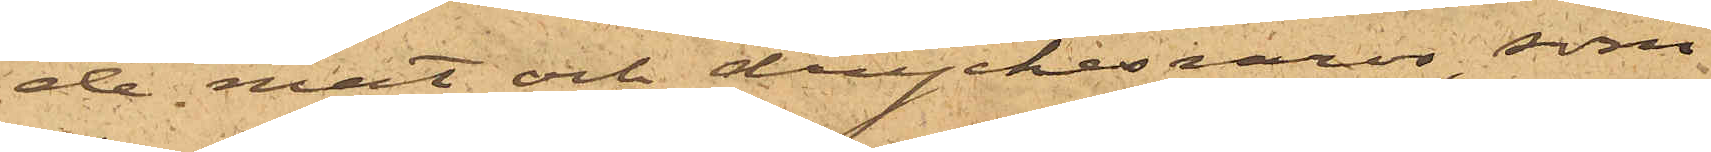de mat och dryckesvaror, som
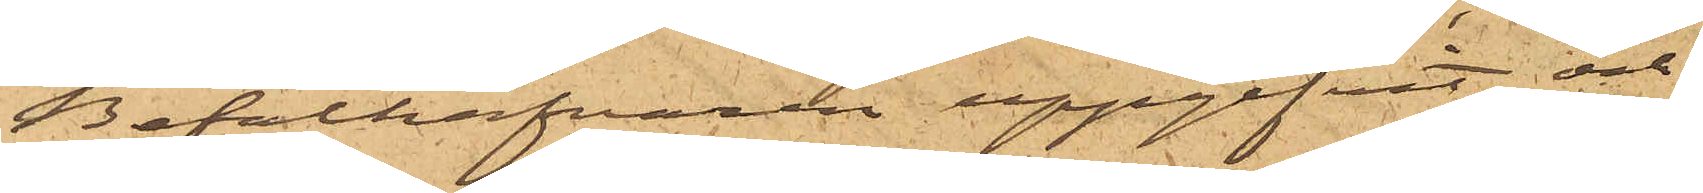Befälhafvaren uppgifvit och
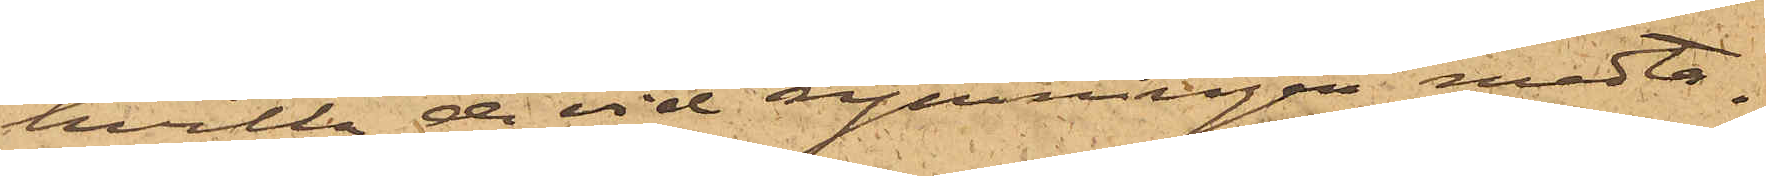hvilka de vid rymningen medta¬
